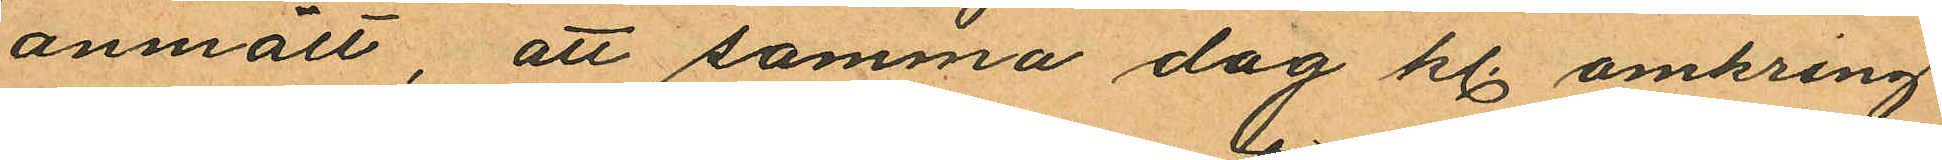anmält, att samma dag kl. omkring
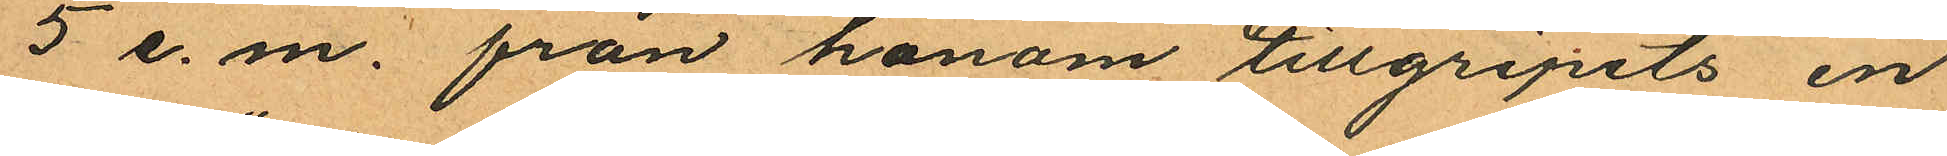5 e. m. från honom tillgripits en
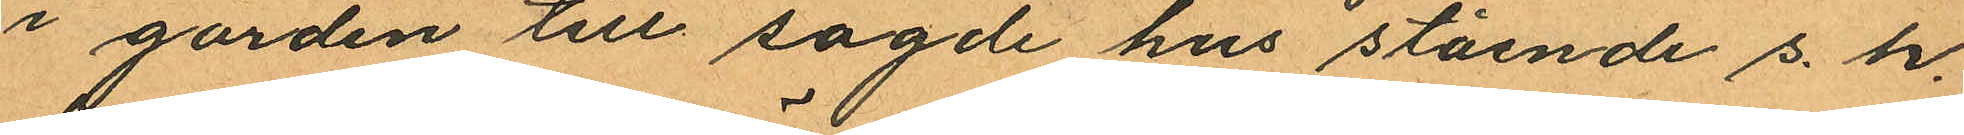i gården till sagde hus stående s. k.
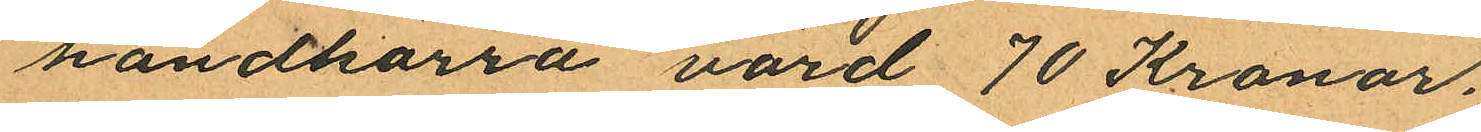handkärra värd 70 Kronor.
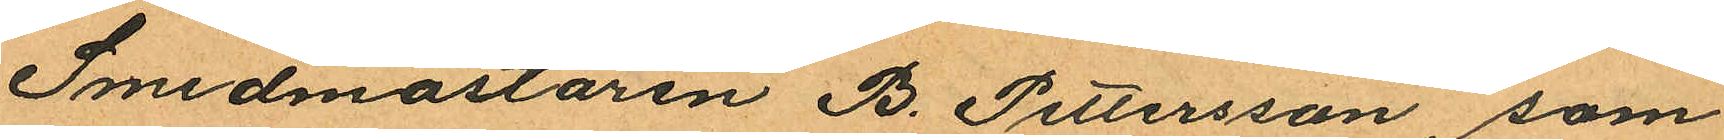Smedmästaren B. Pettersson, som
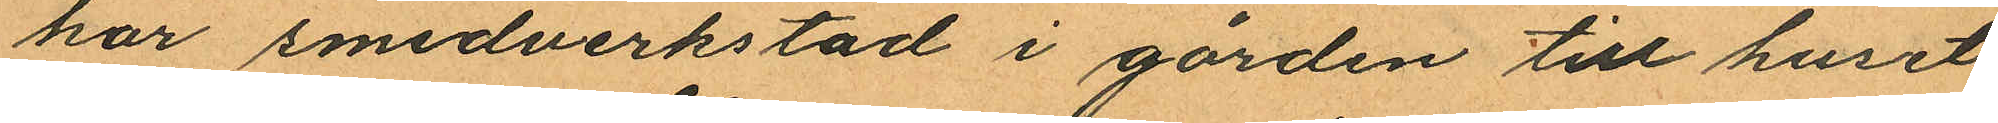har smedverkstad i gården till huset
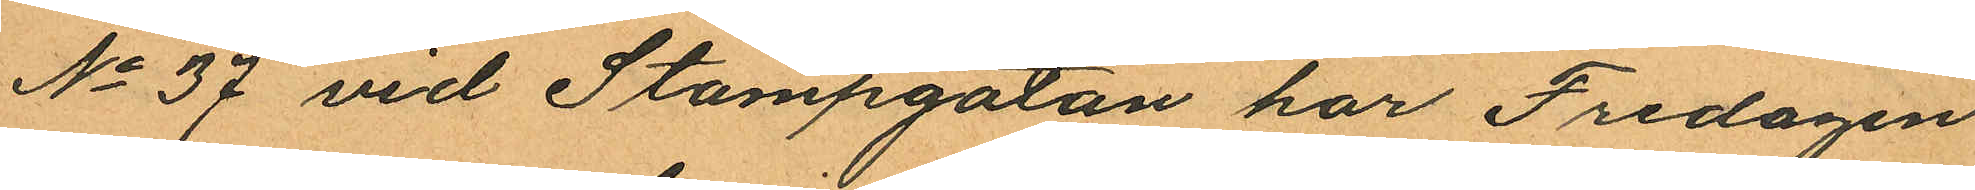No 37 vid Stampgatan har Fredagen
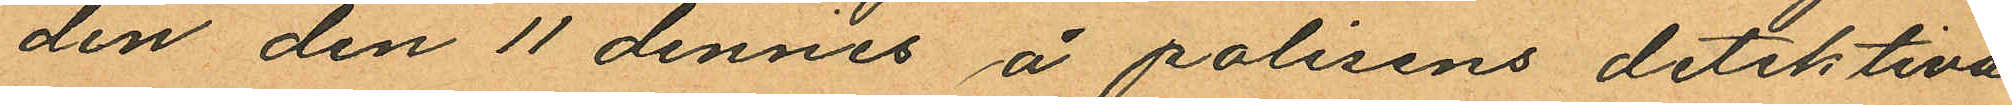den den 11 dennes å polisens detektiva
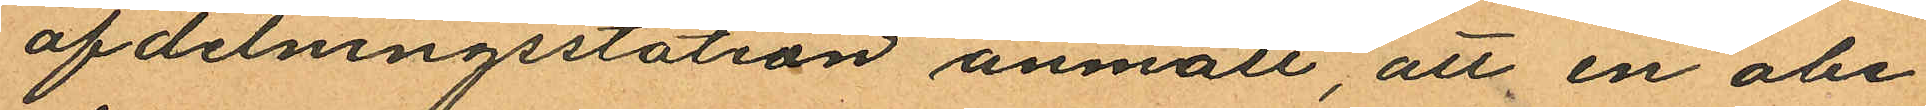afdelningsstation anmält, att en obe¬
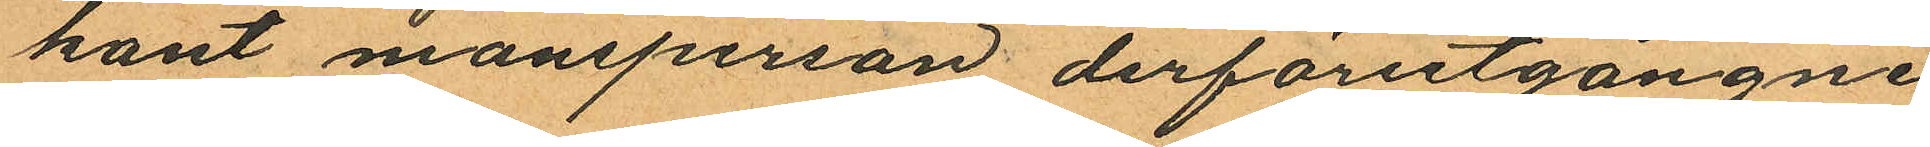kant mansperson derförutgångne
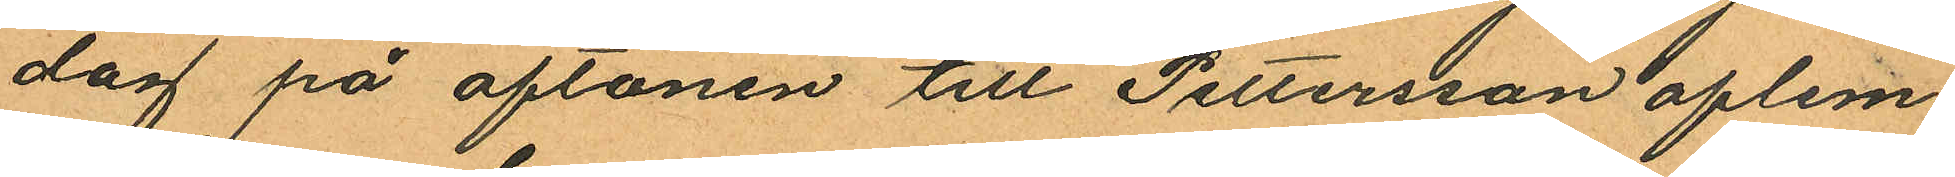dag på aftonen till Pettersson aflem
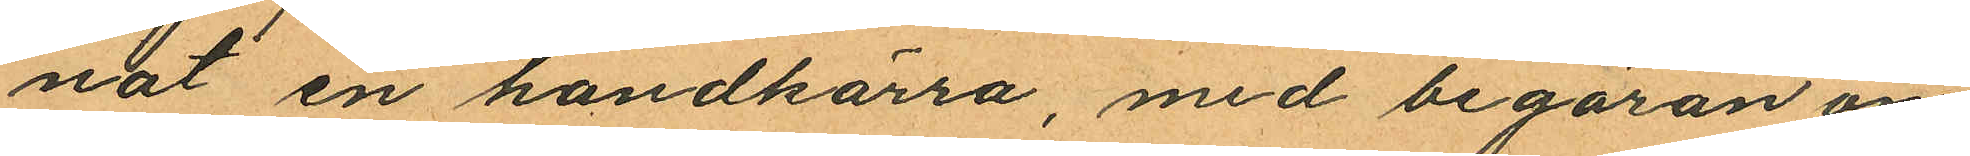nat en handkärra, med begäran om
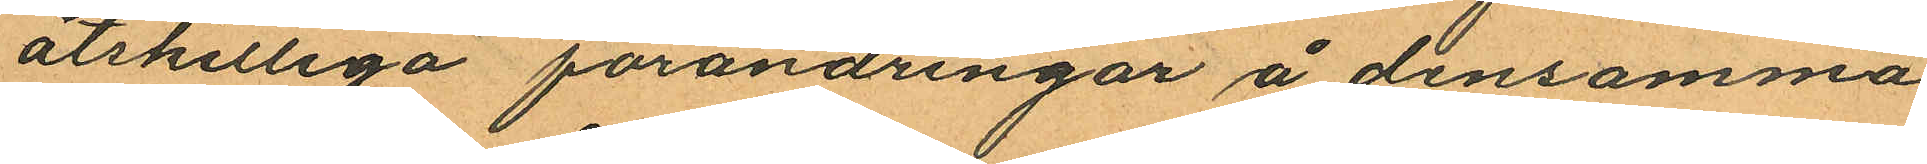åtskilliga förändringar å densamma,
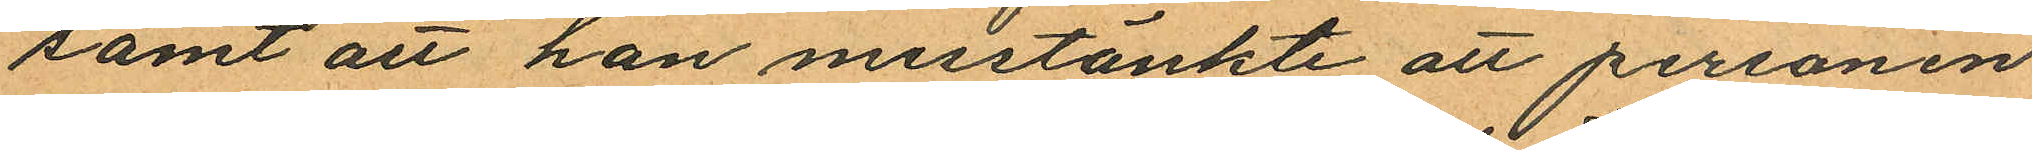samt att han misstänkte att personen
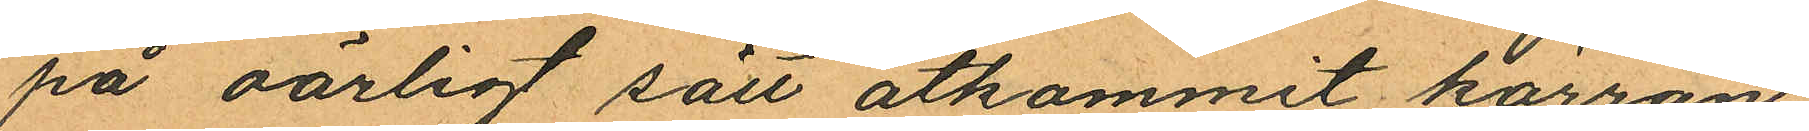på oärligt sätt åtkommit kärran
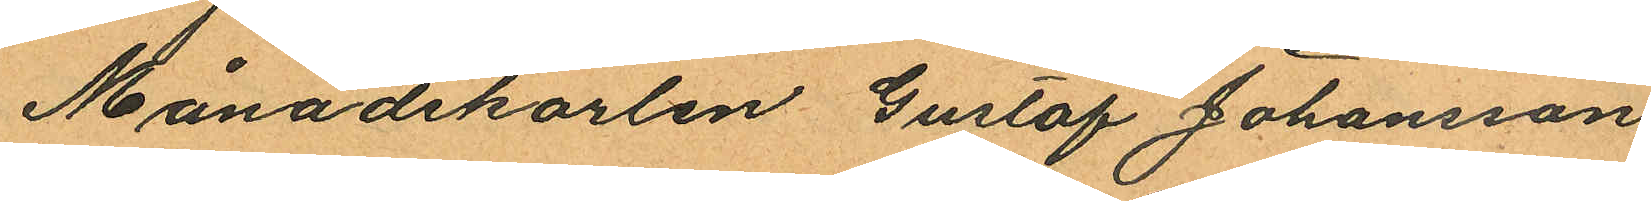Månadskarlen Gustaf Johansson
